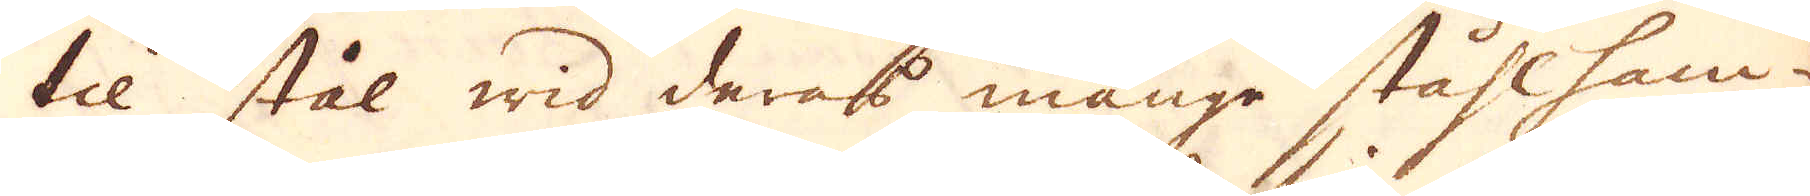til stål wid deras många ståhlham-
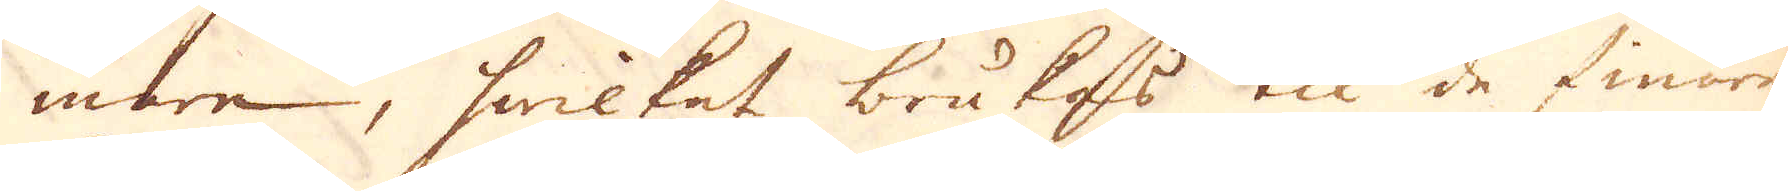mare, hwilket brukas til de finare
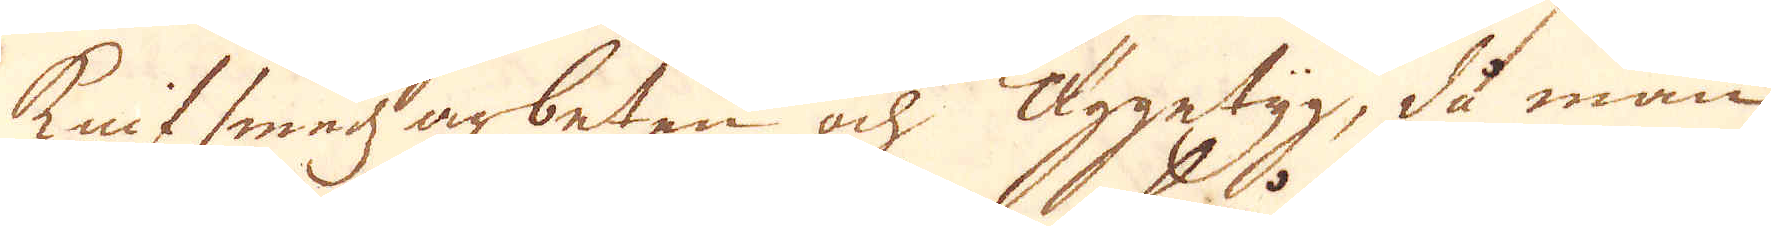Knifsmedz arbeten och äggetyg, då man
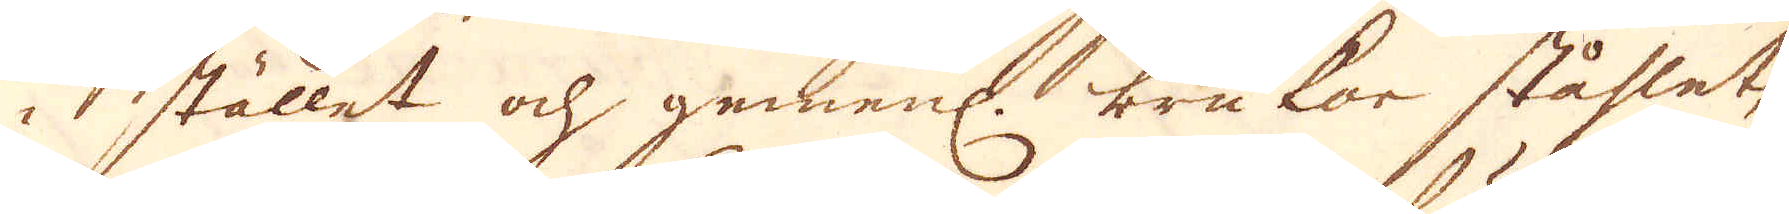i stället och gemenl. brukar ståhlet,
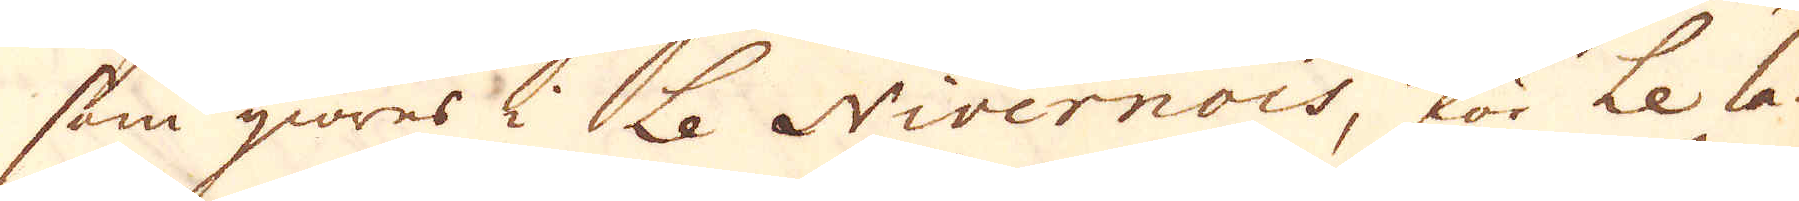som qiöres i Le Nivernois, för Le la-
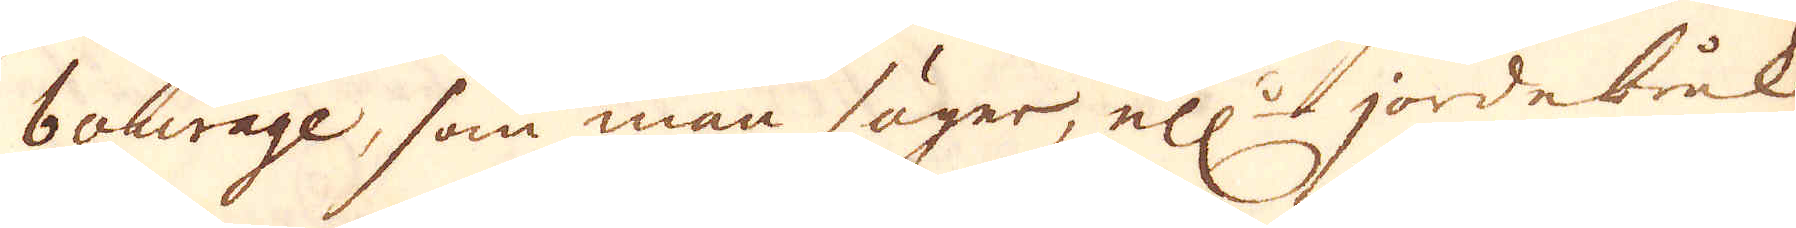bourage, som man säger, ell:r jordebruk
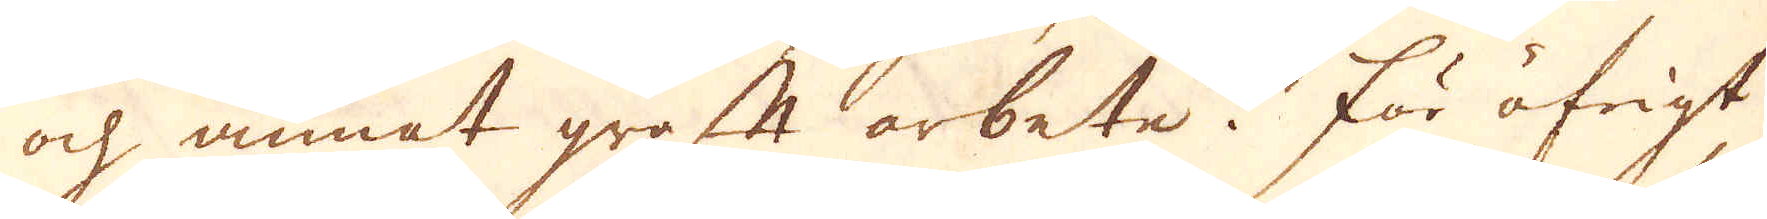och annat groft arbete. För öfrigt
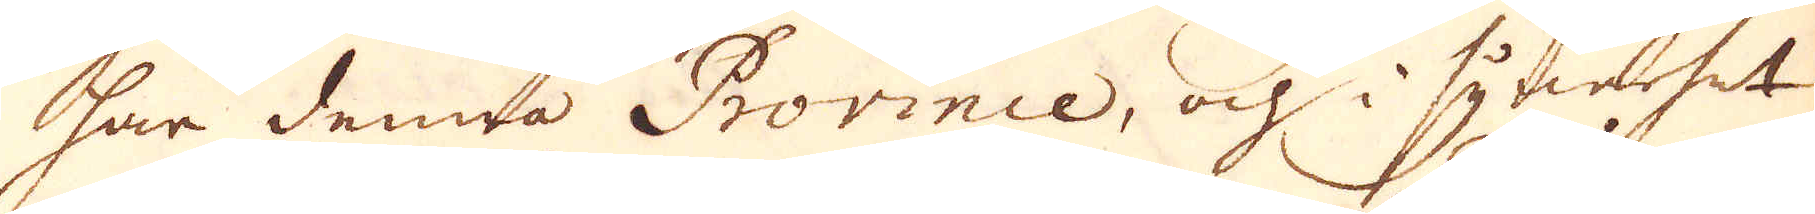har denna Province, och i synerhet
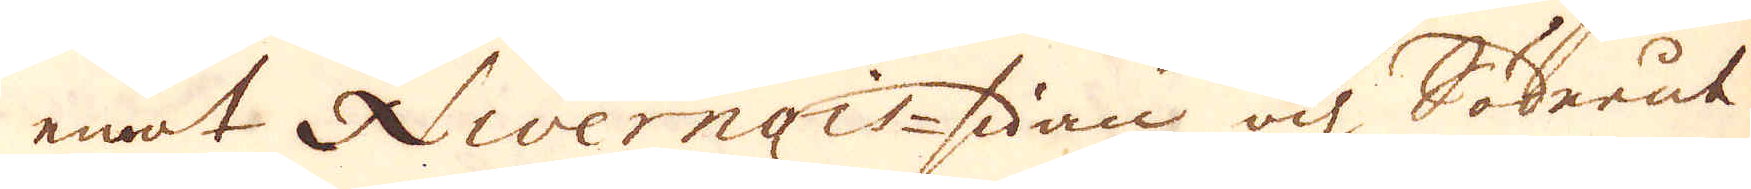emot Nivernois-sidan och Söderut
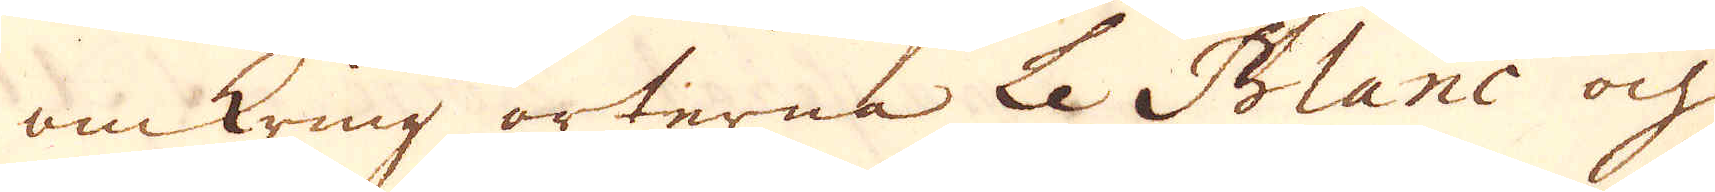omkring orterna Le Blanc och
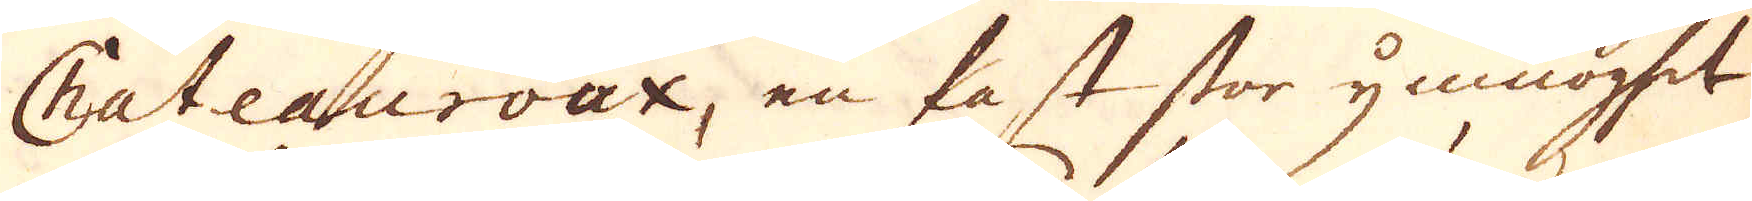Chateauroux, en fast stor ymnoghet
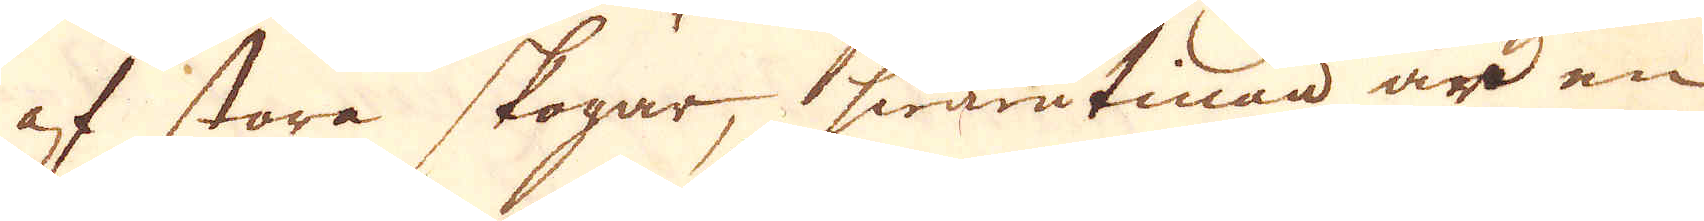af stora skogar, hwarutinan är en
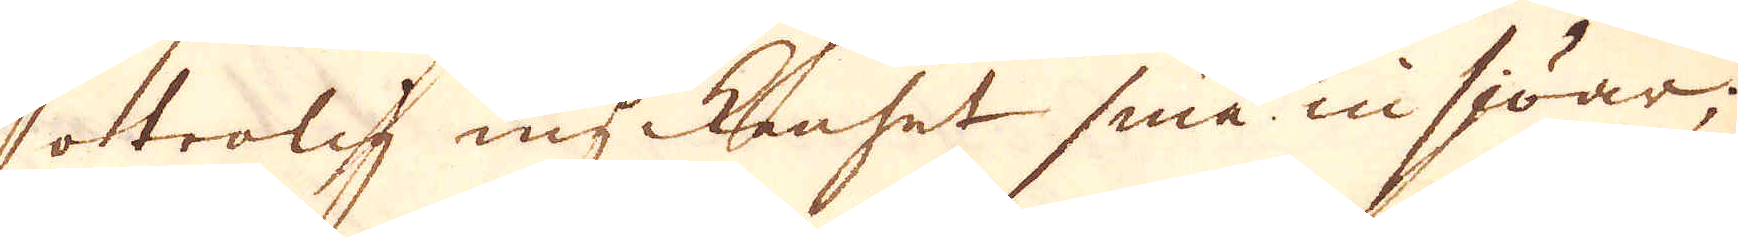otrolig myckenhet små insjöar;
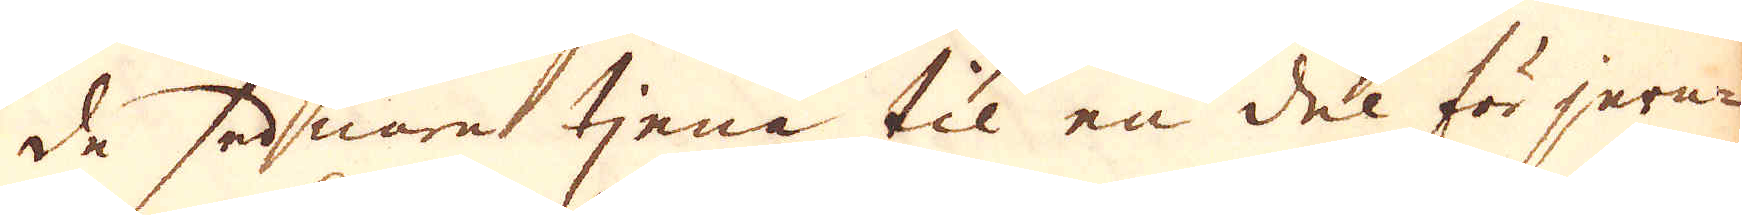de sednare tjena til en del för jern-
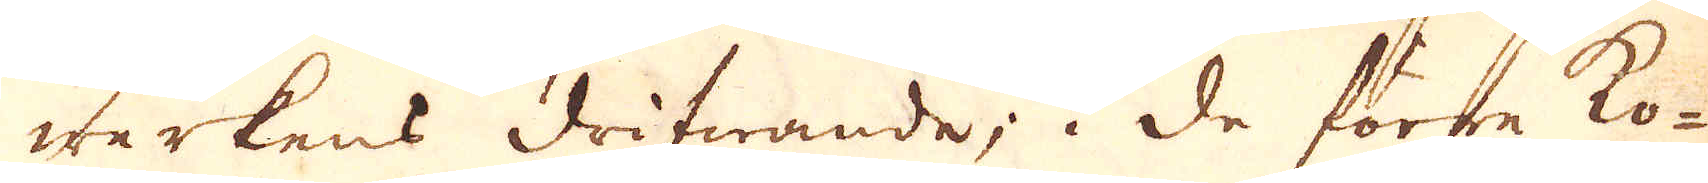werkens drifwande; i de förre ko-
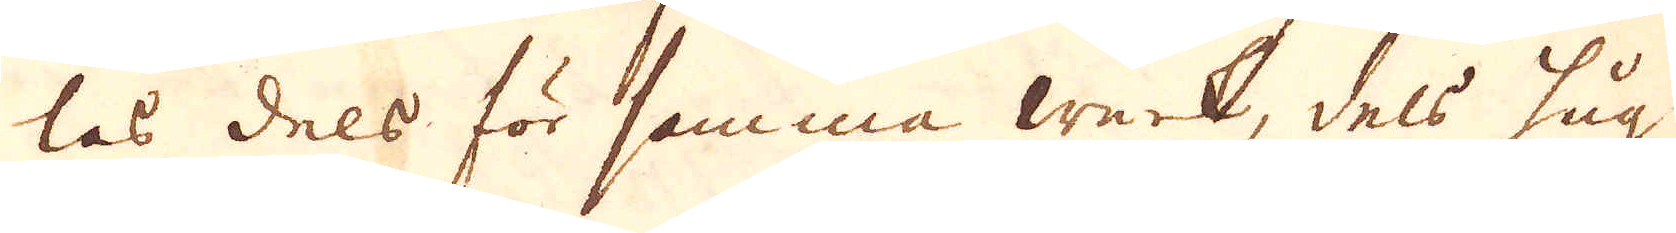las dels för samma werk, dels hug-
